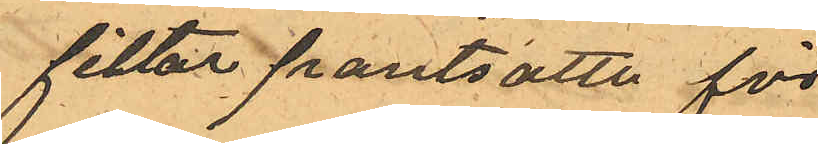filtar pantsatta för
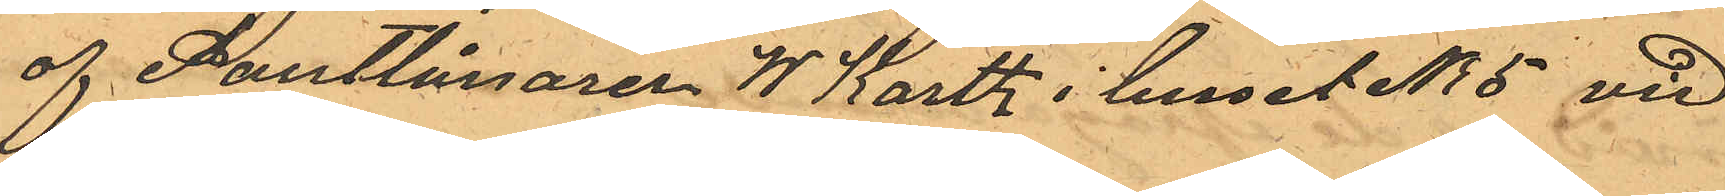af Pantlånaren W. Karth i huset No 5 vid
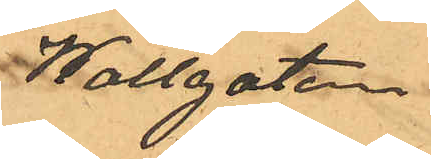Wallgatan.
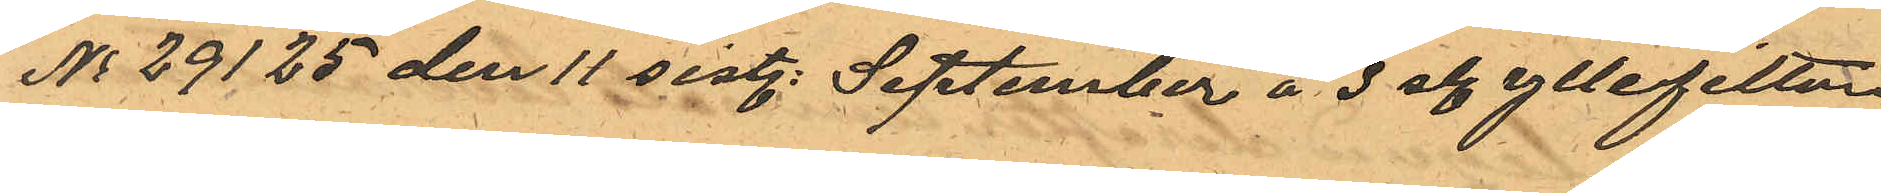No 29125 den 11 sistl. September å 3 st. yllefiltar
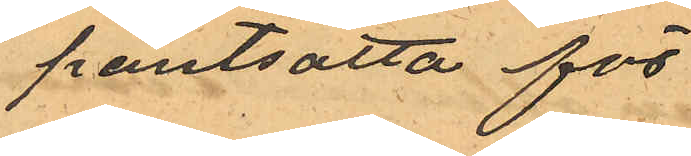pantsatta för
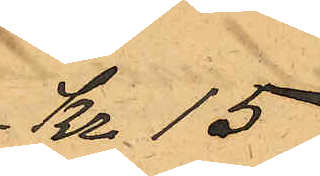Kr. 15
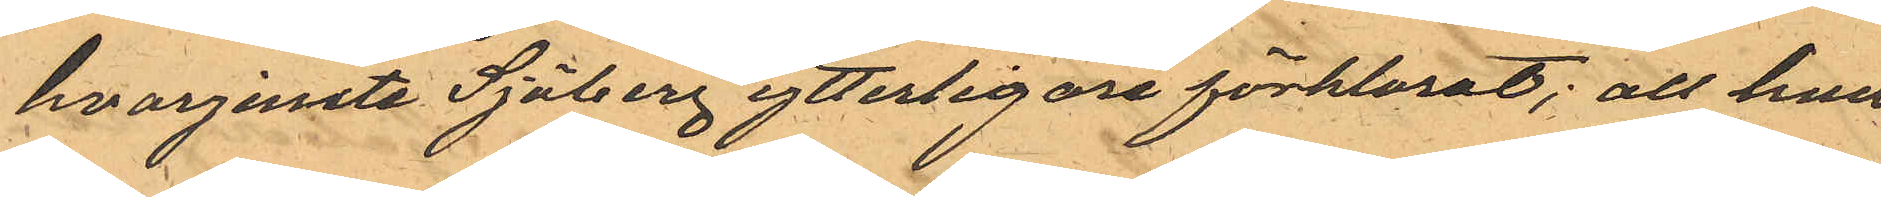hvarjemte Sjöberg ytterligare förklarat; att han
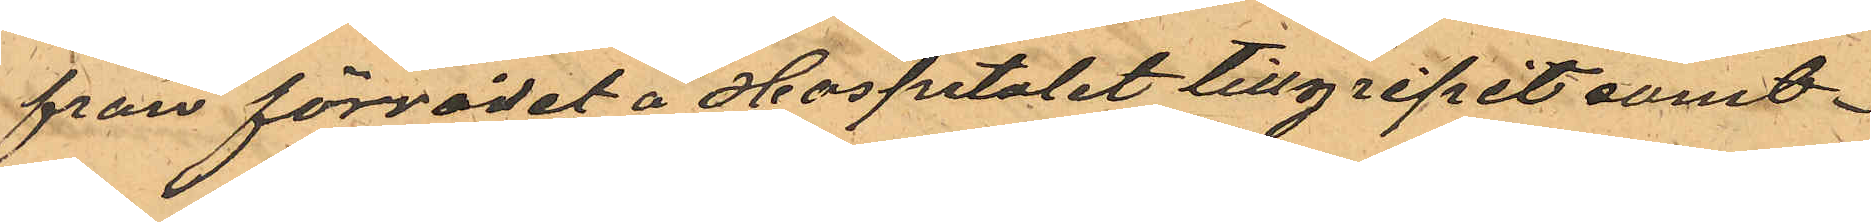från förrådet å Hospitalet tillgripit samt¬
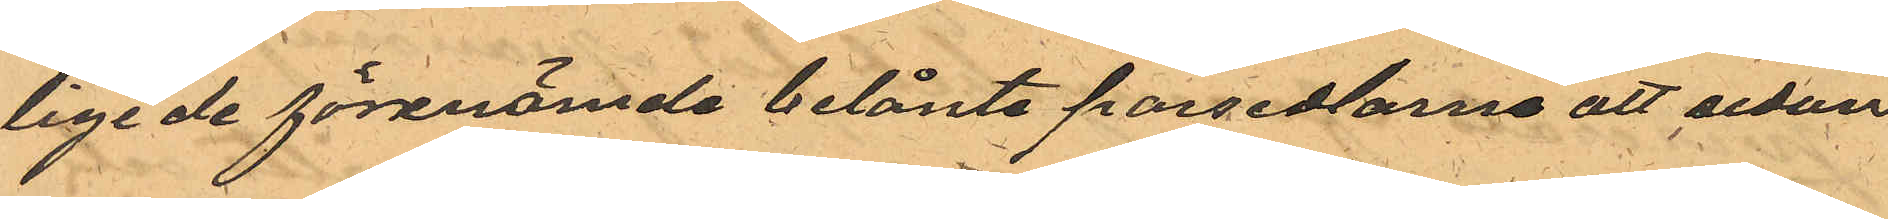lige de förenämde belånte persedlarne att sedan
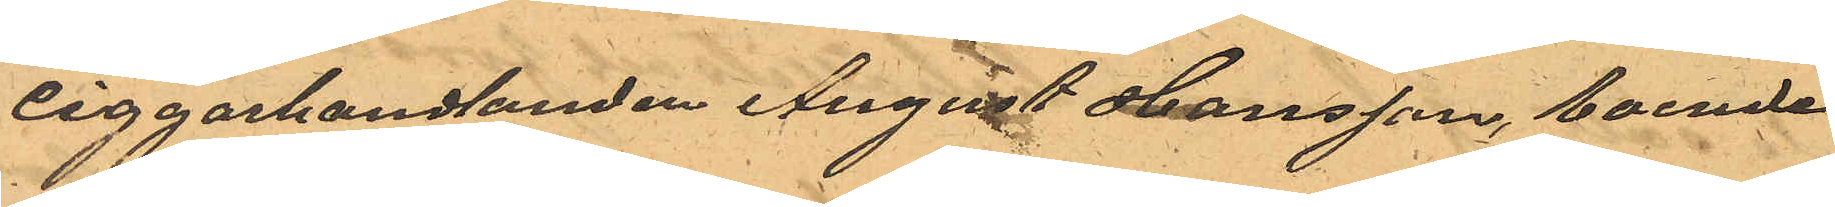ciggarhandlanden August Hansson, boende
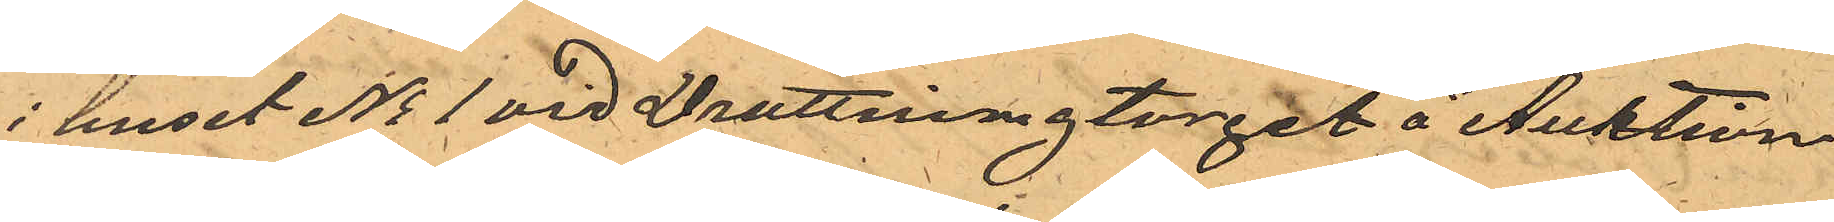i huset No 1 vid Drottningtorget å Auktion
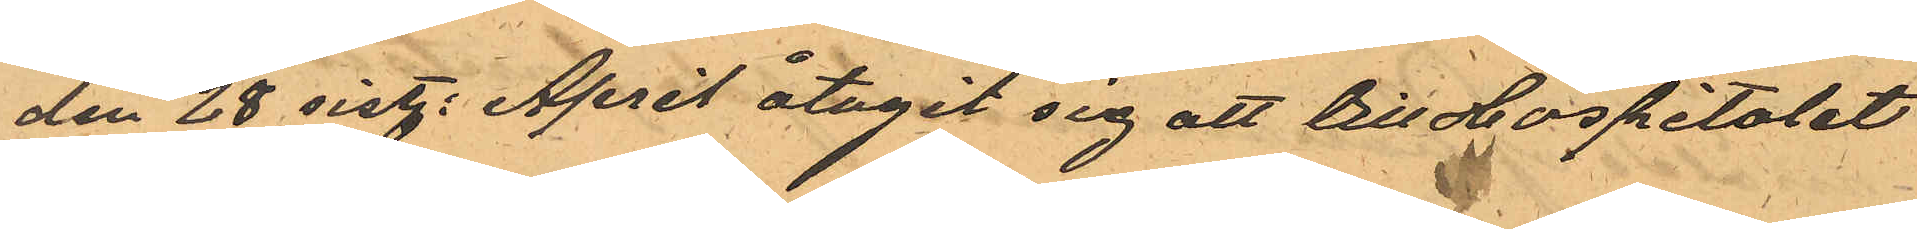den 28 sist. April åtagit sig att till Hospitalet
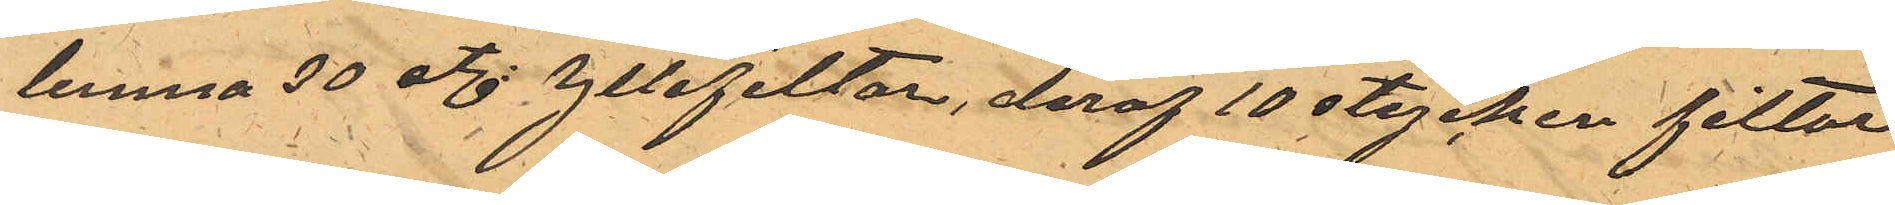lemna 30 st. yllefiltar, deraf 10 stycken filtar
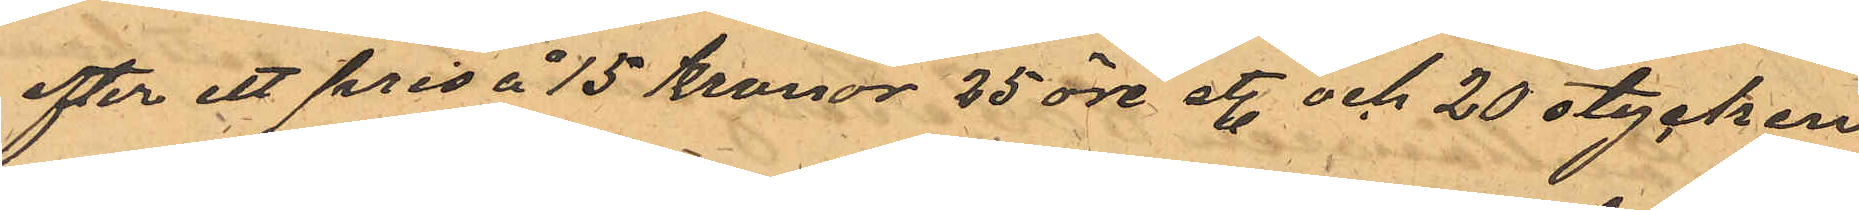efter ett pris å 15 kronor 25 öre st. och 20 stycken
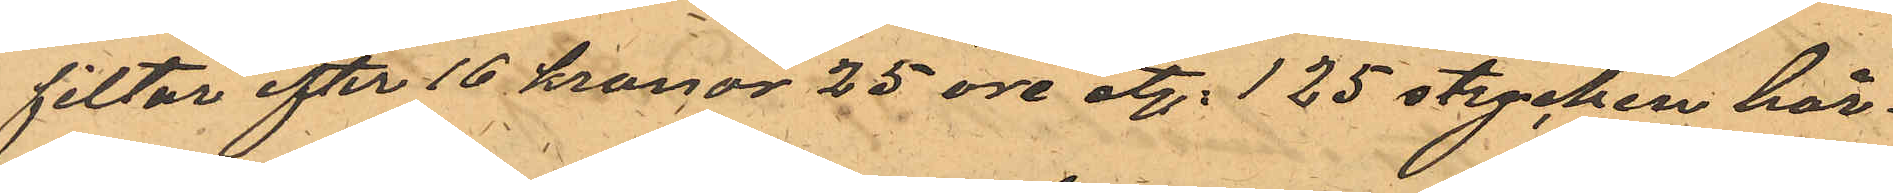filtur efter 16 kronor 25 öre st.; 125 stycken hår¬
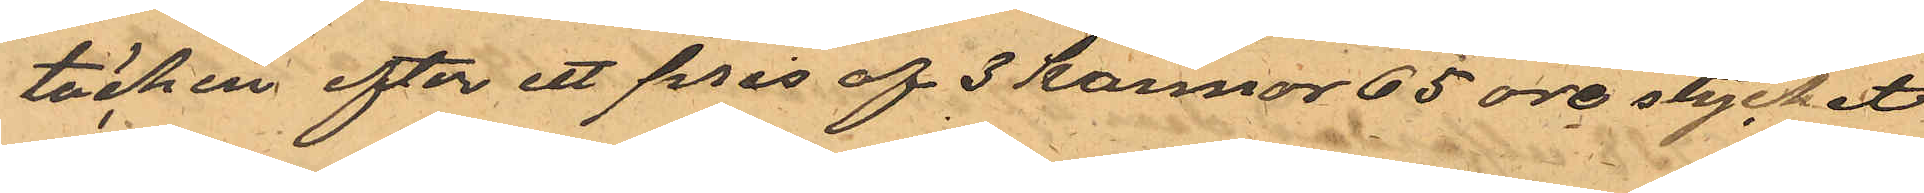täcken efter ett pris af 3 kannor 65 öre stycket
